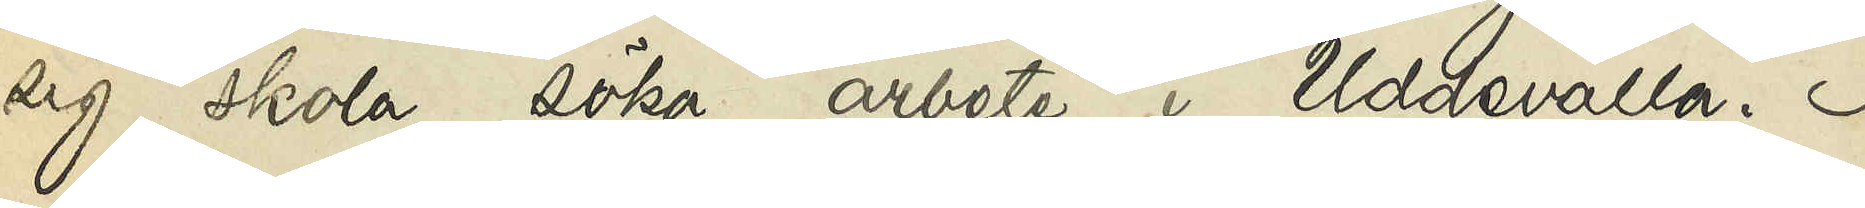sig skola söka arbete i Uddevalla. I
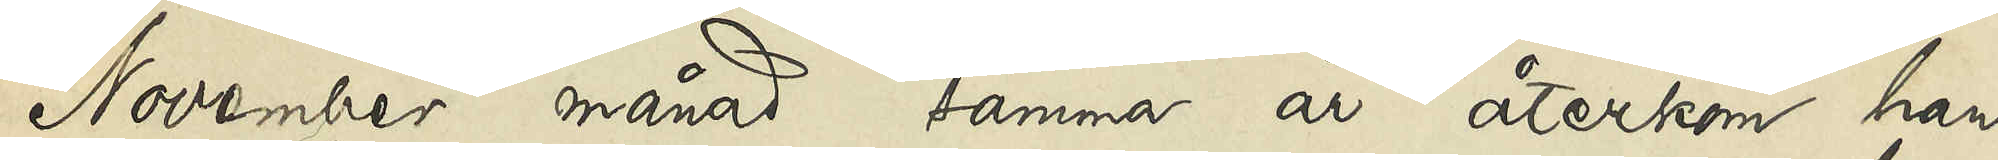November månad samma år återkom han
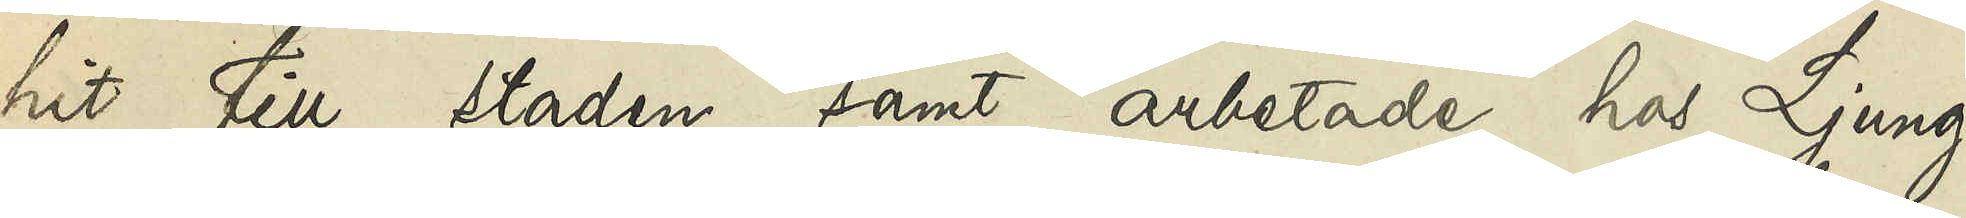hit till staden samt arbetade hos Ljung¬
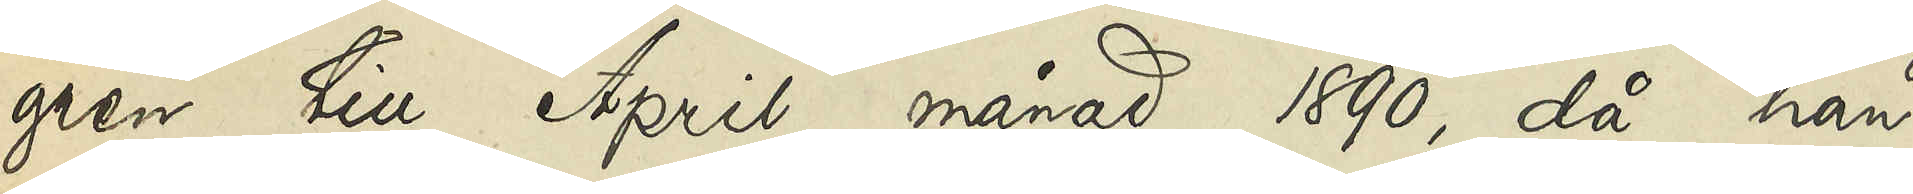gren till April månad 1890, då han
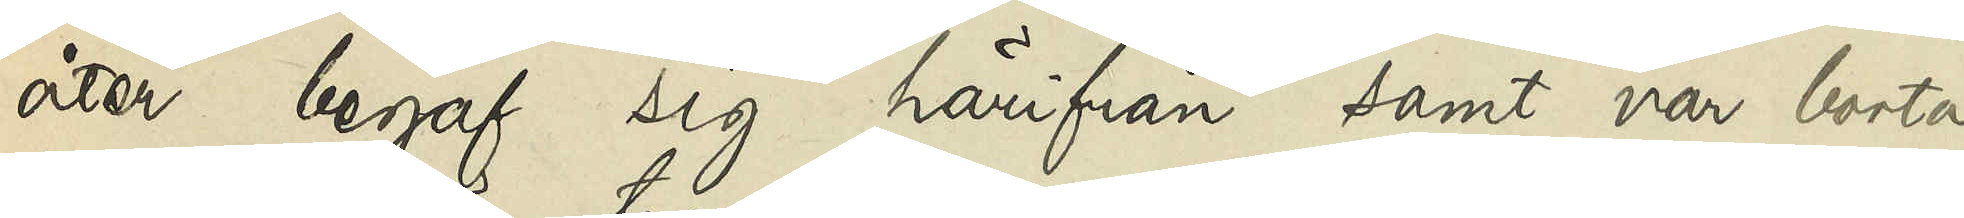åter begaf sig härifrån samt var borta
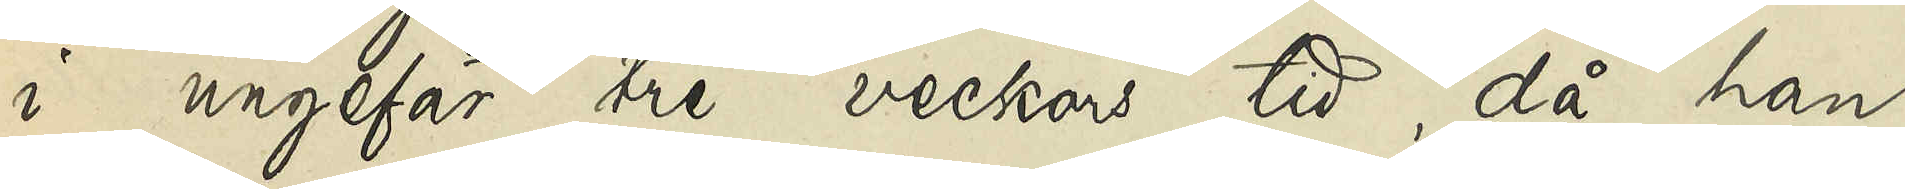i ungefär tre veckors tid, då han
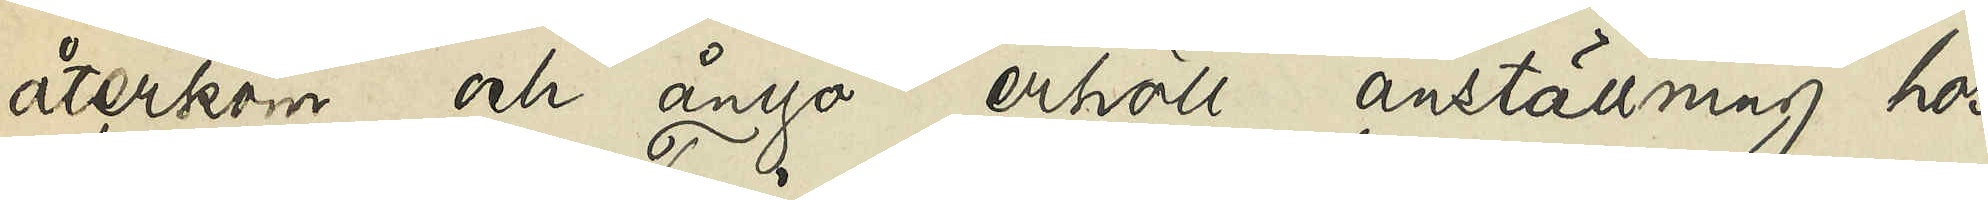återkom och ånyo erhöll anställning hos
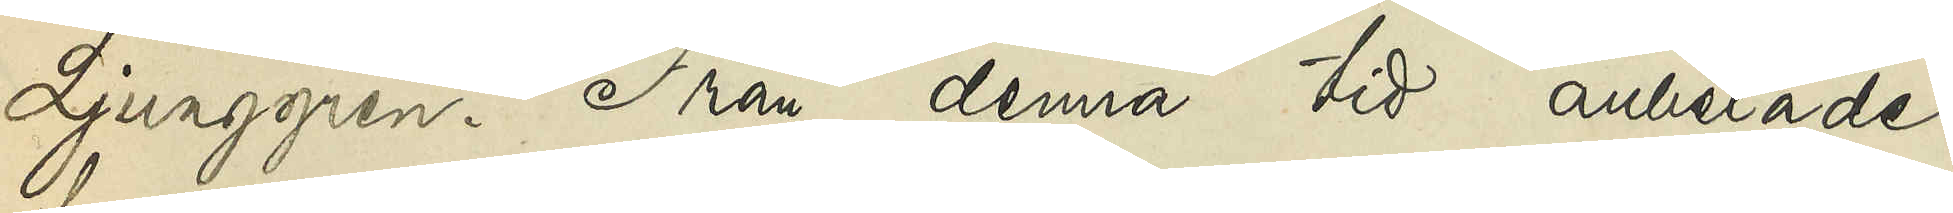Ljunggren. Från denna tid arbetade
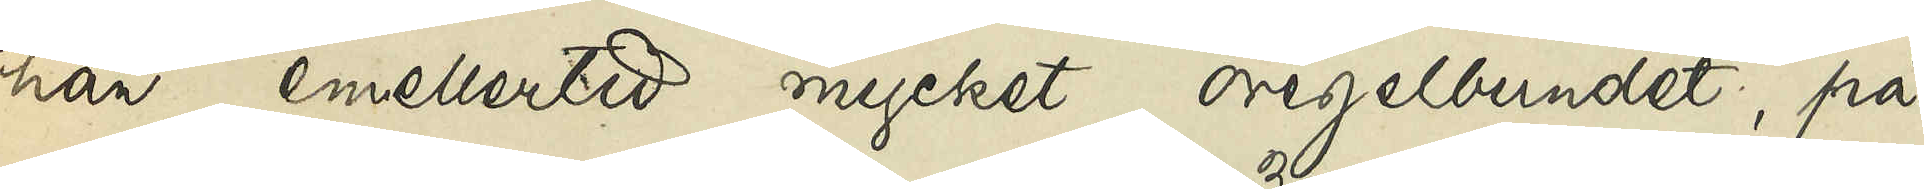han emellertid mycket oregelbundet, på
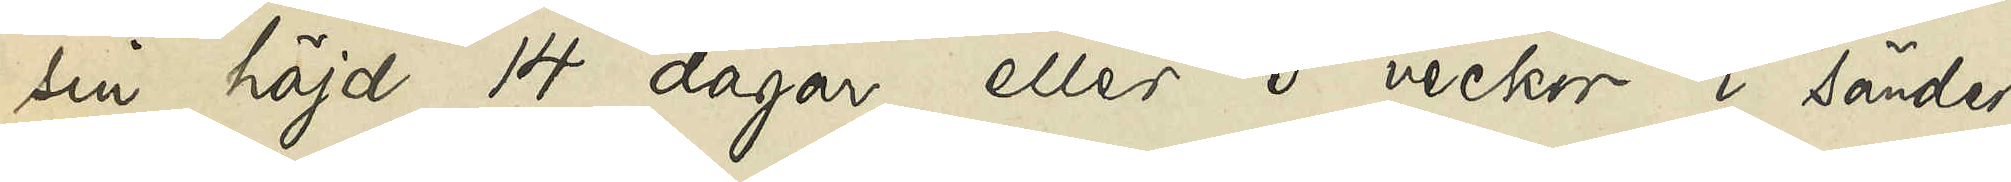sin höjd 14 dagar eller 3 veckor i sänder.
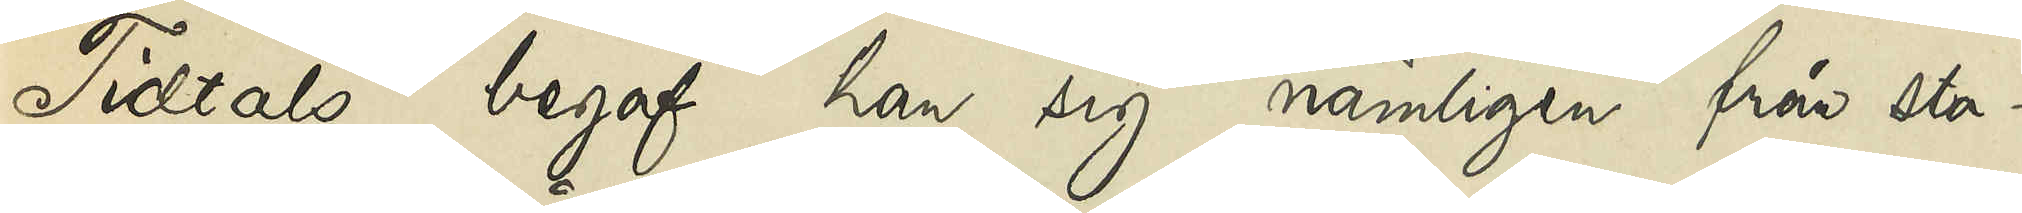Tidtals begaf han sig nämligen från sta¬
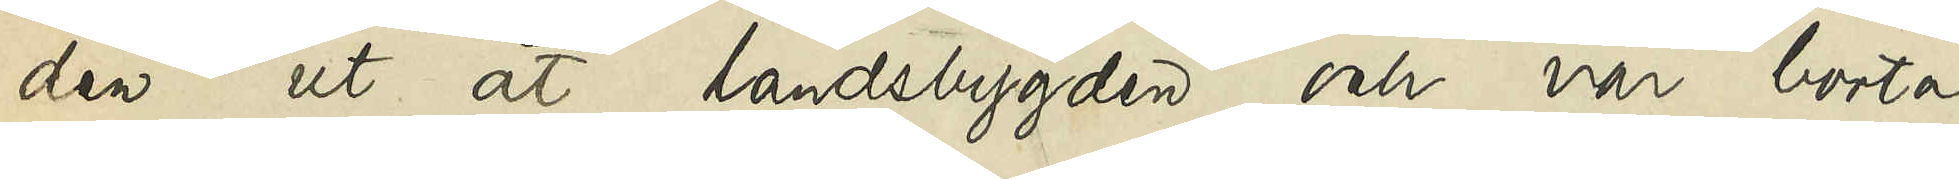den ut åt landsbygden och var borta
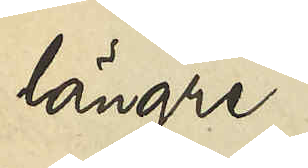längre
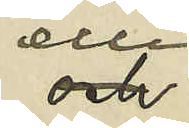eller
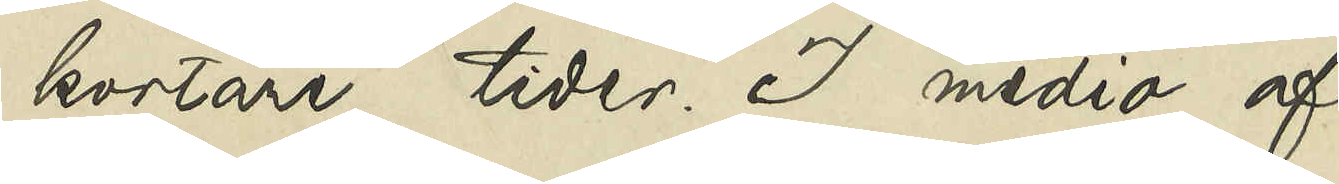kortare tider. I medio af
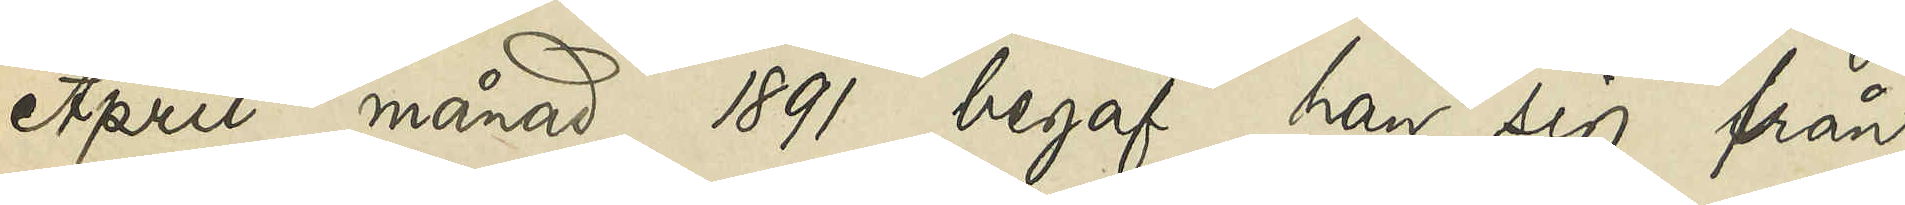April månad 1891 begaf han sig från
